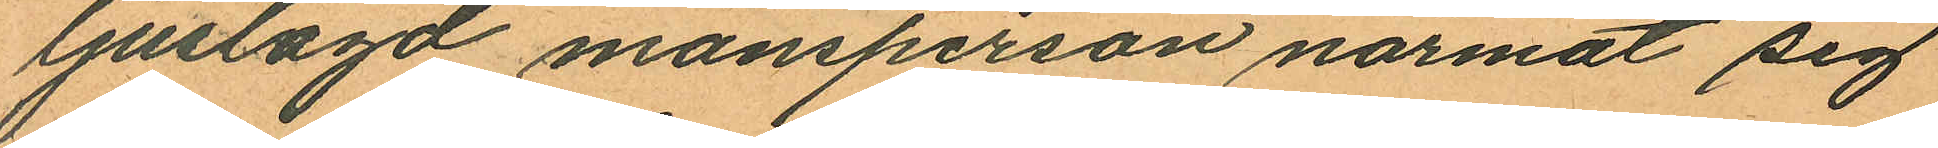ljuslagd mansperson närmat sig
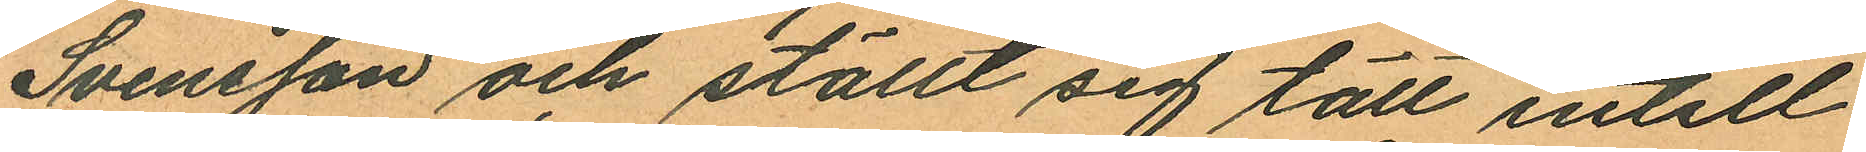Svensson och ställt sig tätt intill
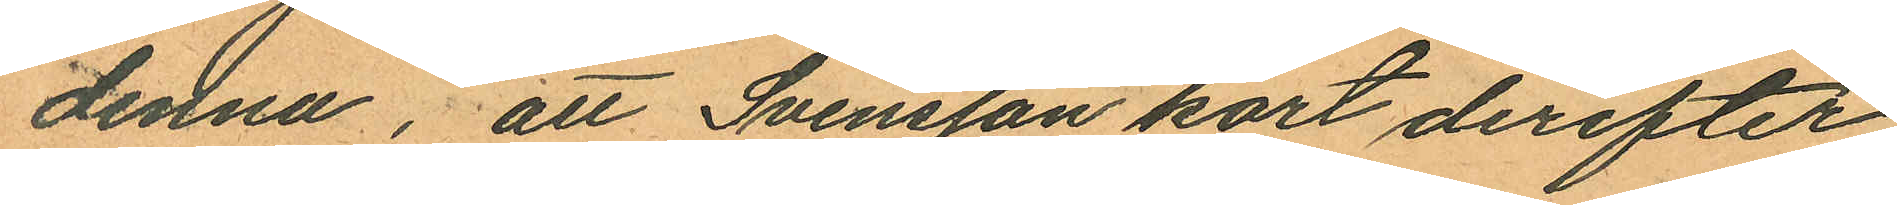denna, att Svensson kort derefter
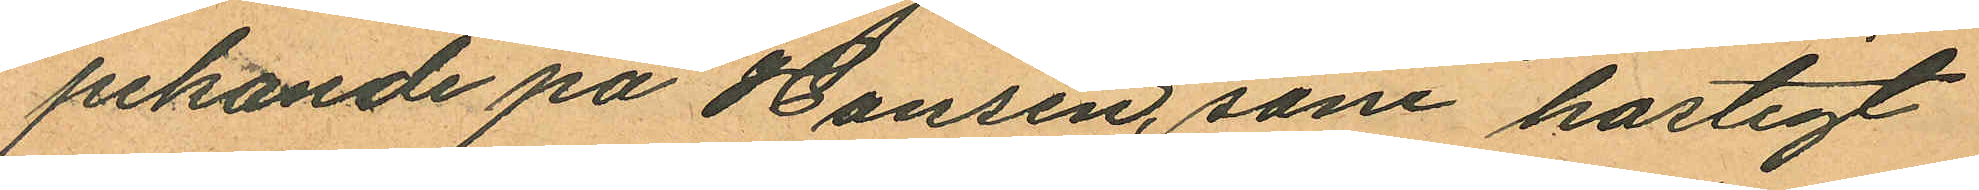pekande på Hansen, som hastigt
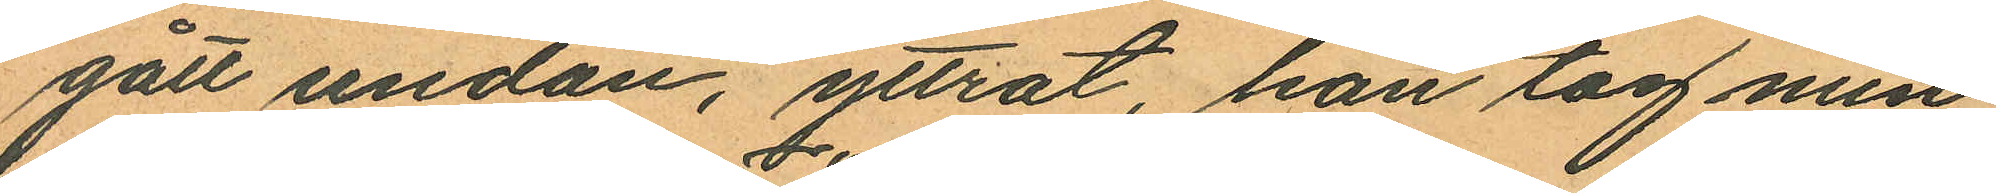gått undan, yttrat, han tog min
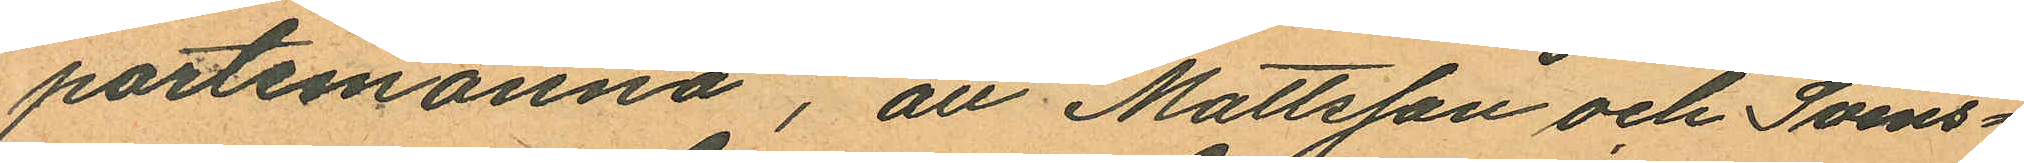portemonnä", att Mattsson och Svens¬
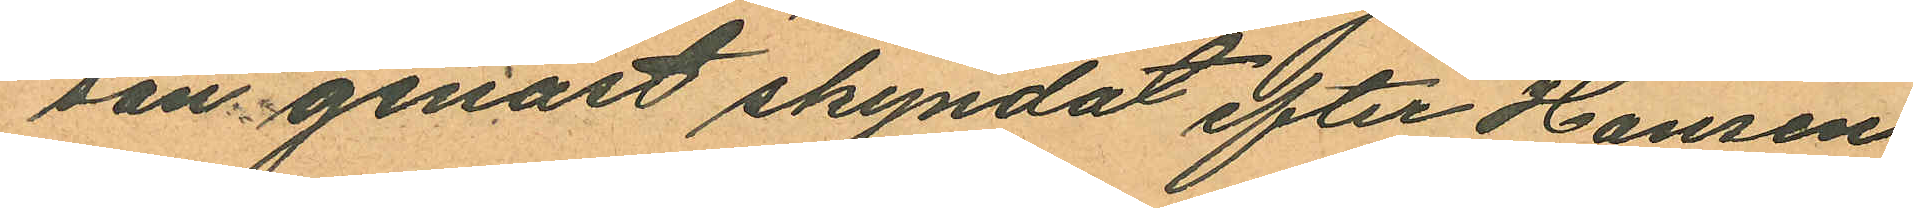son genast skyndat efter Hansen
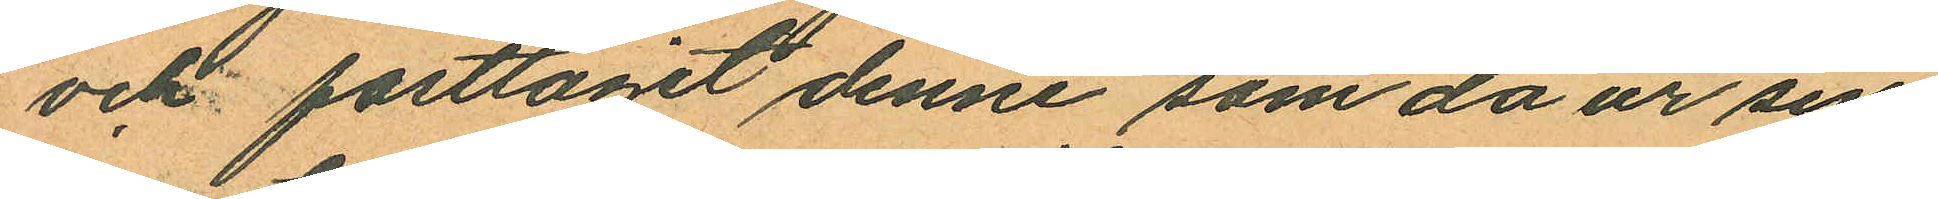och fasttagit denne som då ur sin
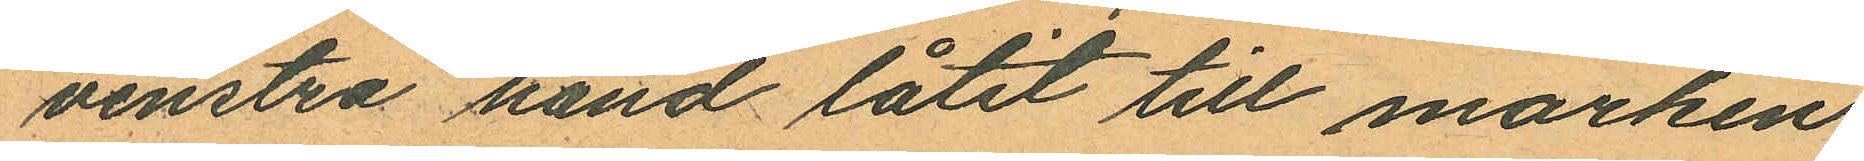venstra hand låtit till marken
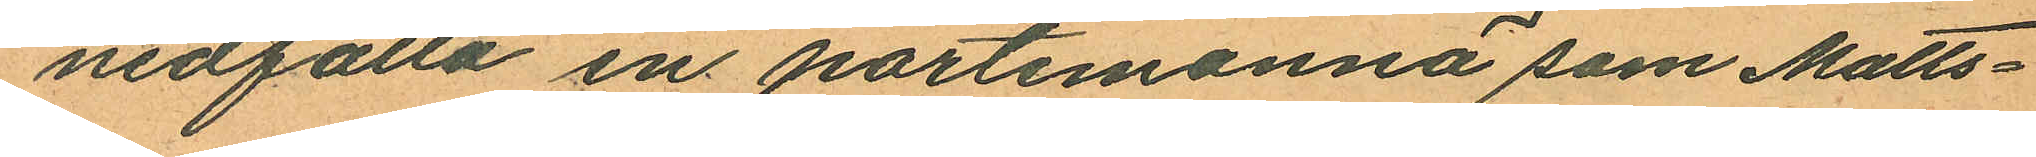nedfalla en portemonnä som Matts¬
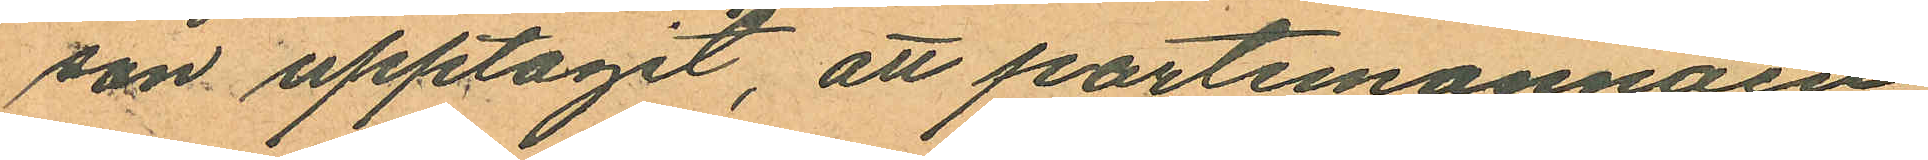son upptagit, att portemonnäen,
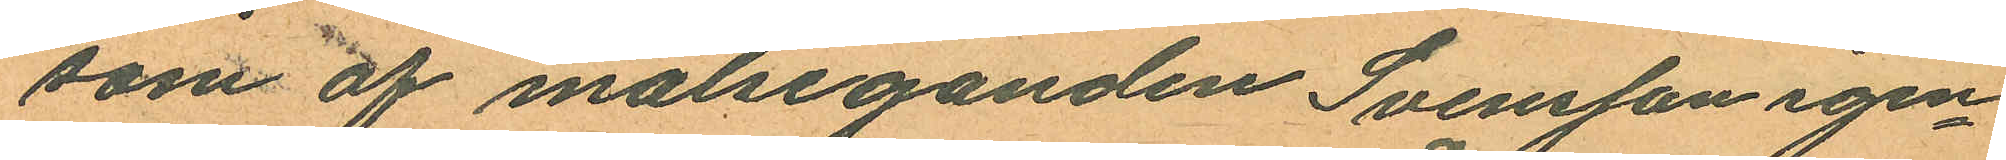som är målseganden Svensson igen¬
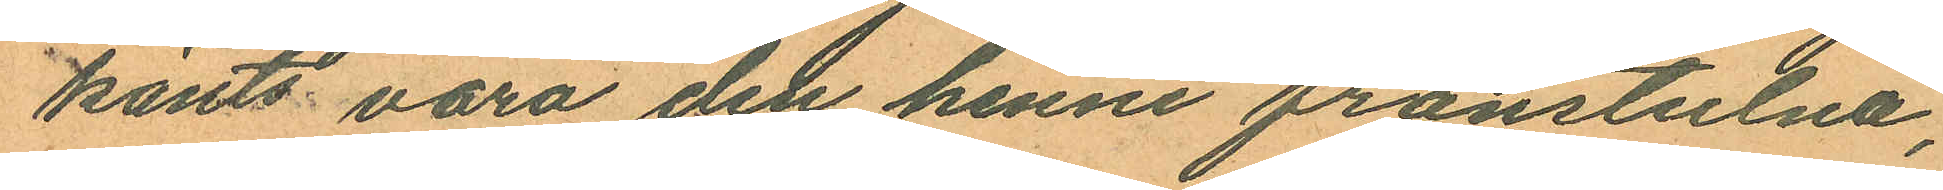känts vara det henne frånstulna,
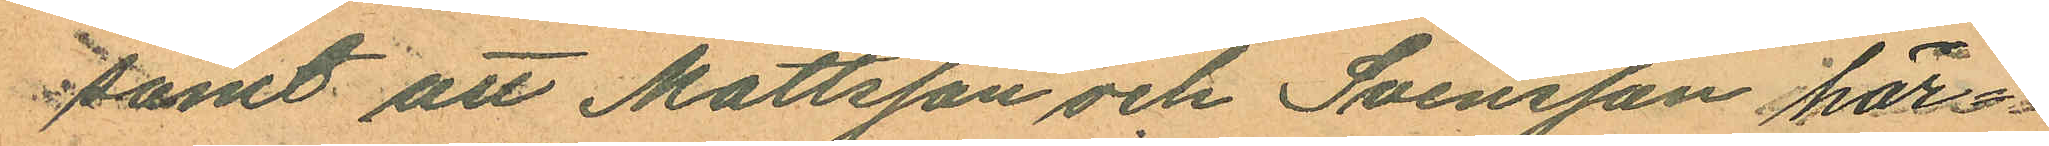samt att Mattsson och Svensson här¬
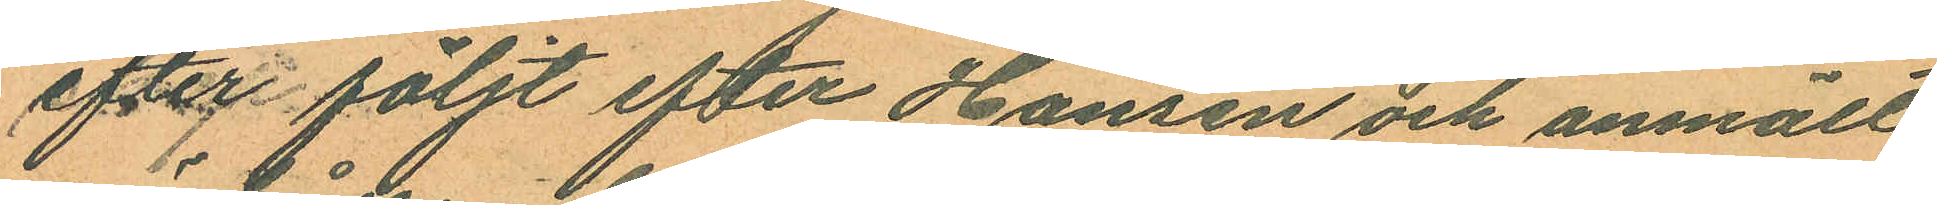efter följt efter Hansen och anmält
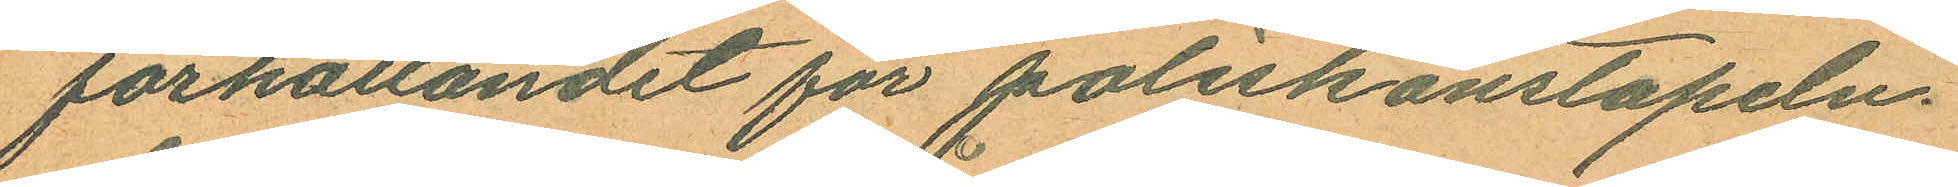förhållandet för poliskonstapeln
